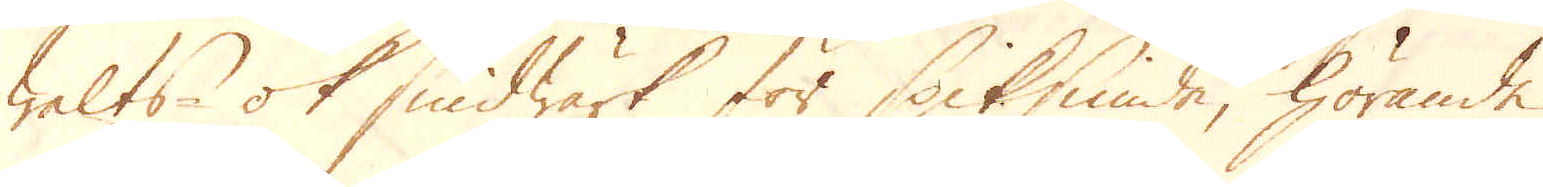Walts- ok Smidwärk för Spiksmide, hörande
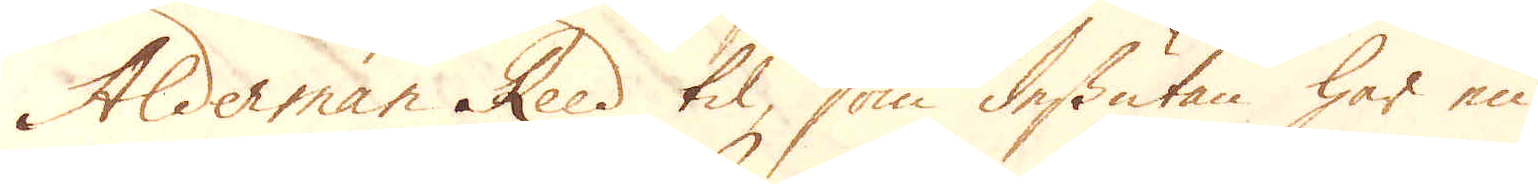Alderman Reed til, som dessutan har en
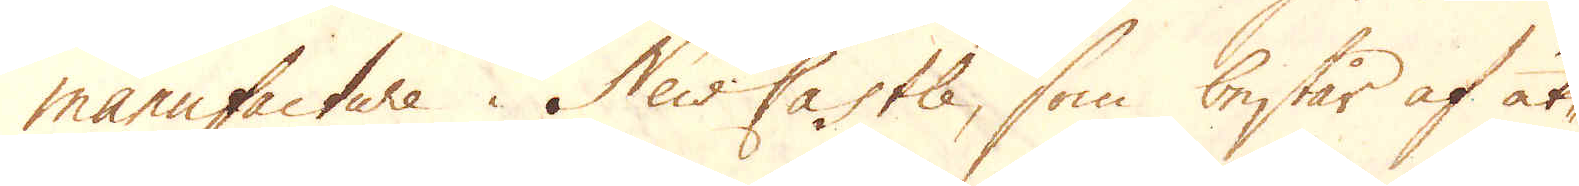manufacture i New Castle, som består af åt-
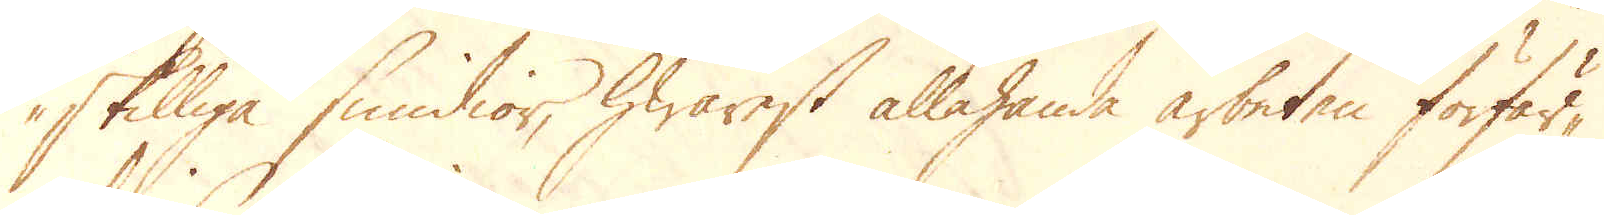skilliga smidior, hwarest allahanda arbeten förfär-
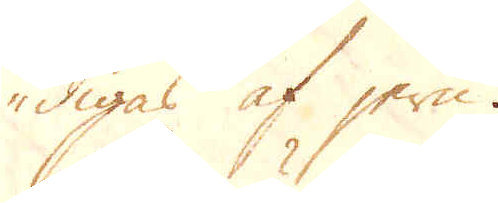digas af jern.
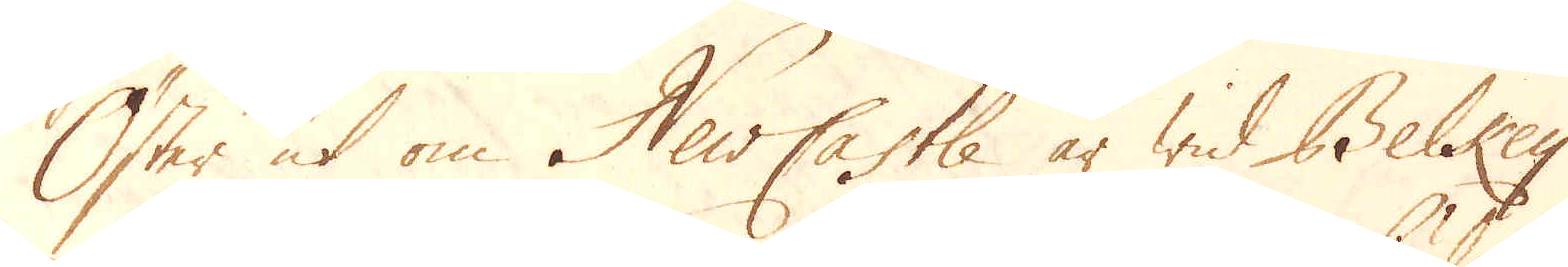Öster ut om NewCastle är wid Belkey
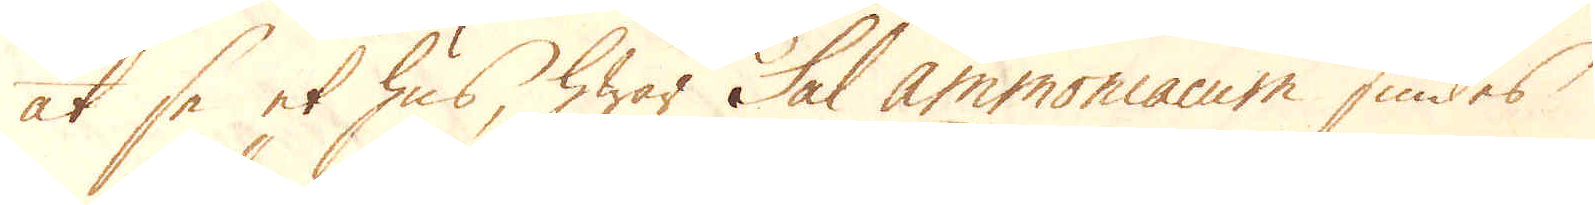at se et hus, hwar Sal ammoniacum siudes
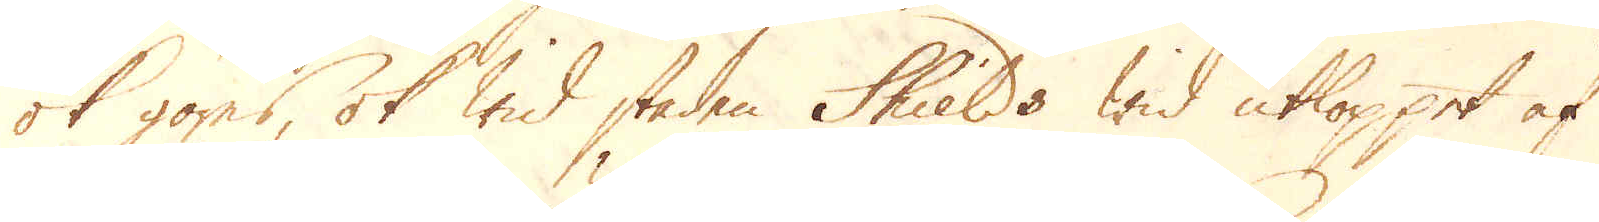ok göres, ok wid staden Shields wid utloppet af
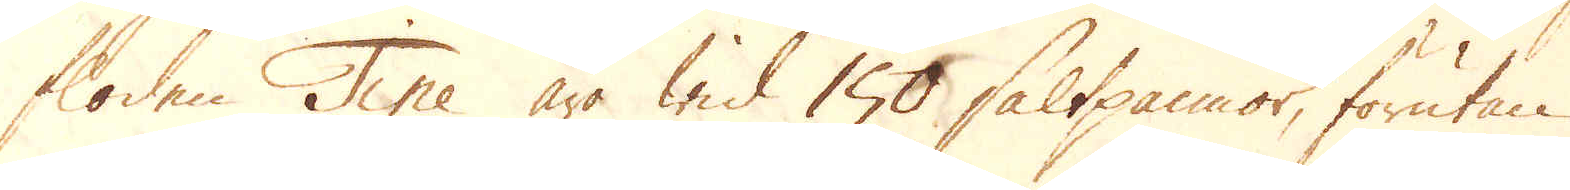staden Tine äro wid 150 saltpannor, förutan
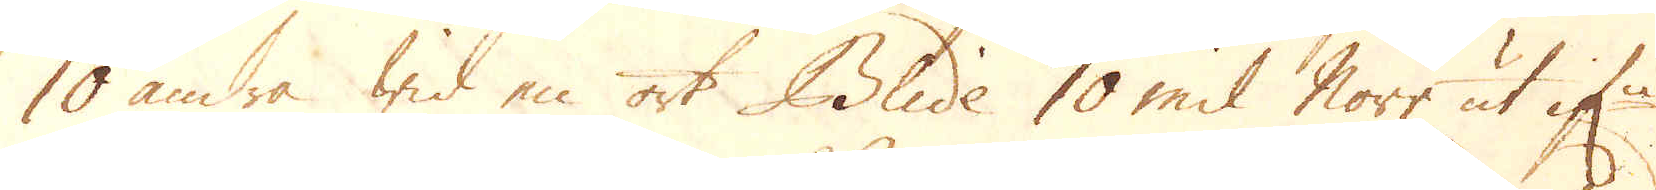10 andra wid en ort Blide 10 mil norr ut if:n
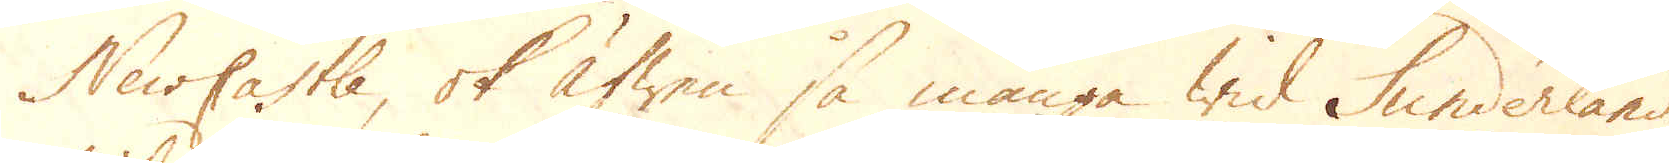NewCastle, ok äfwen så många wid Sunderland,
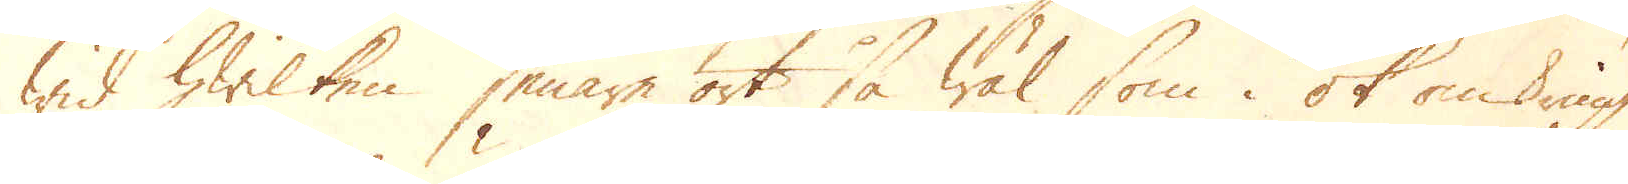wid hwilken senare ort så wäl som i ok omkring
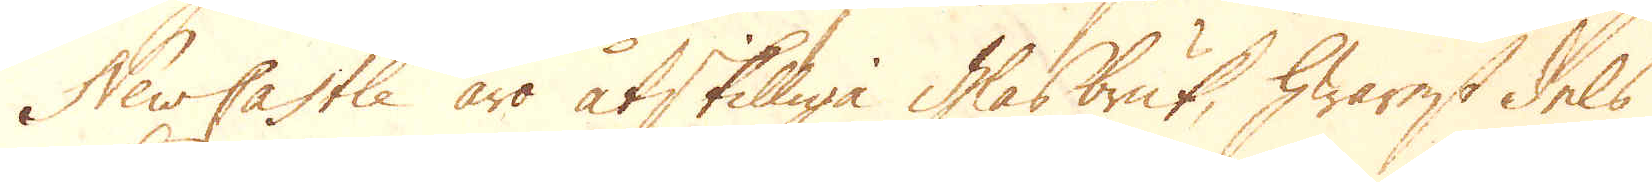NewCastle äro åtskilliga glasbruk, hwarest dels
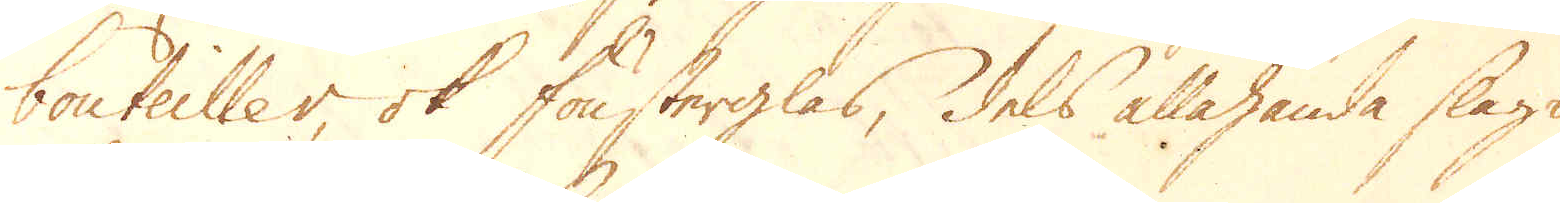bouteiller, ok fönsterglas, dels allahanda slags
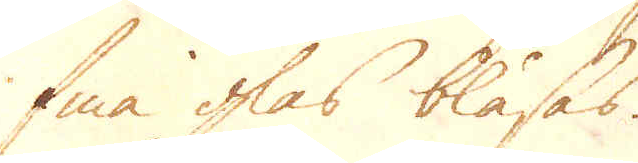fina glas blåsas.
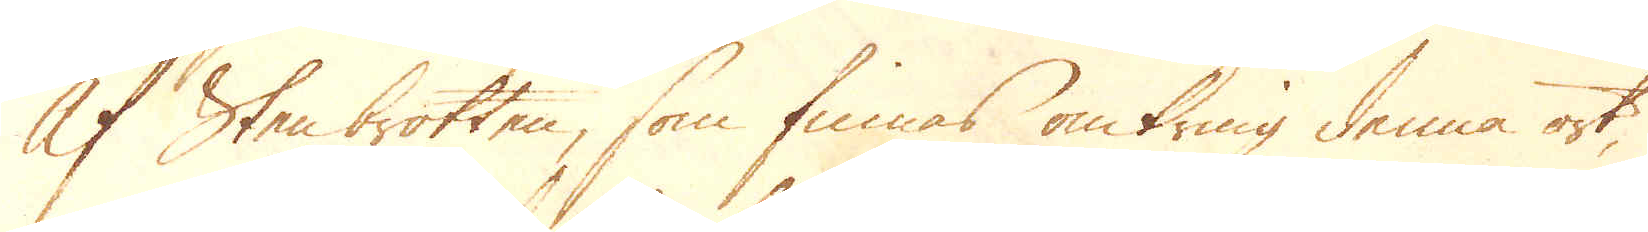Af Sten brotten, som finnas omkring denna ort,
